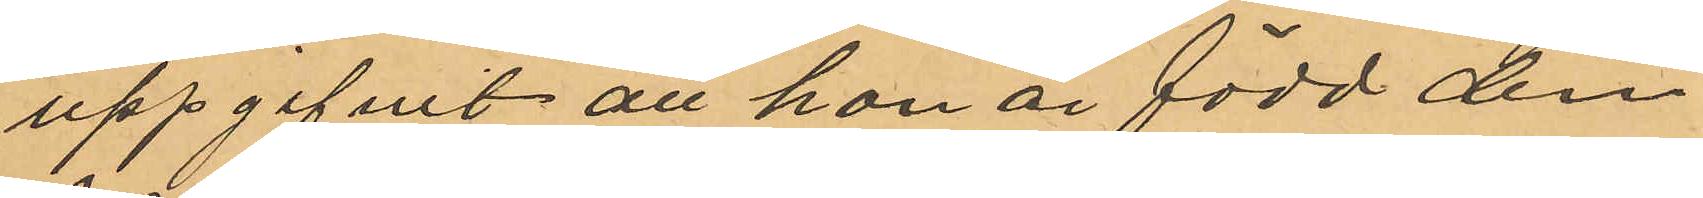uppgifvit att han är född den
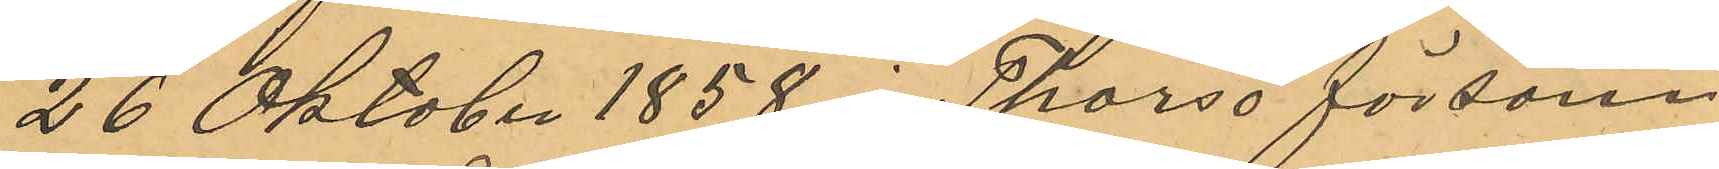26 Oktober 1858 i Thorsö försam¬
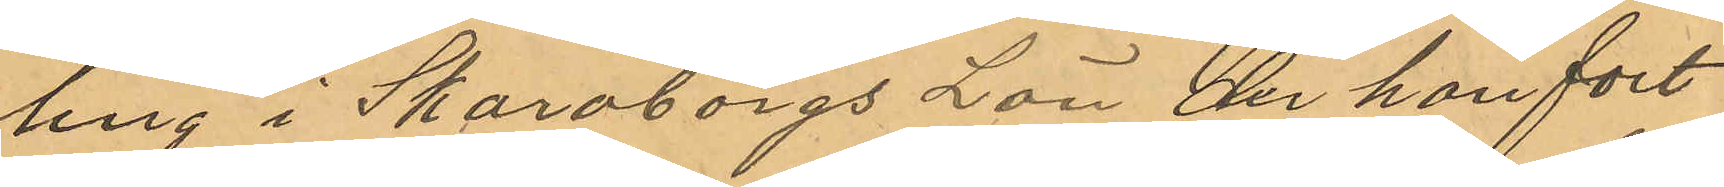ling i Skaraborgs Län der han fort¬
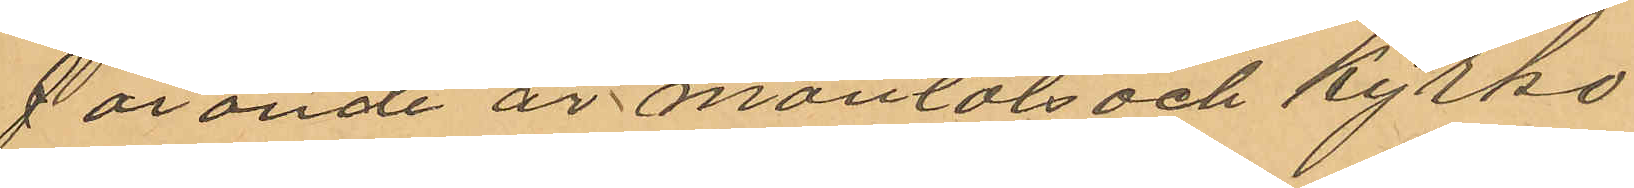farande är mantals- och kyrko¬
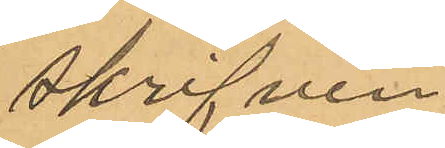skrifven.
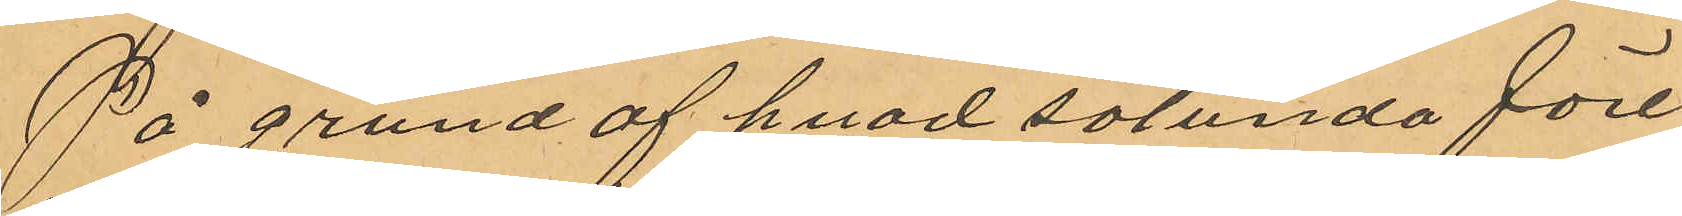På grund af hvad sålunda före¬
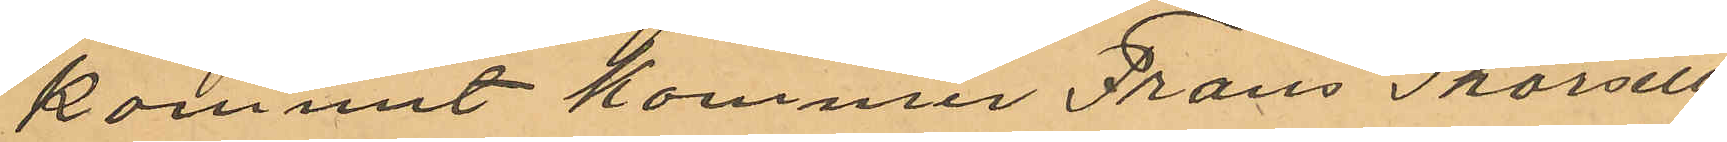kommit kommer Frans Thorsell
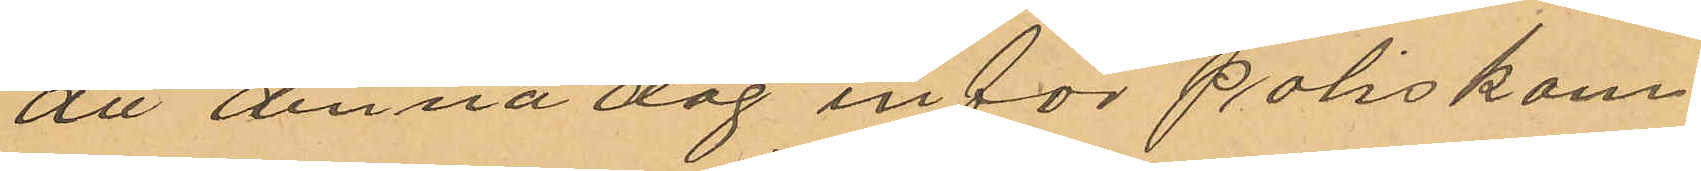att denna dag inför Poliskam¬
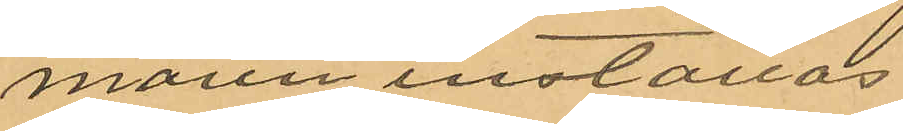maren inställas.
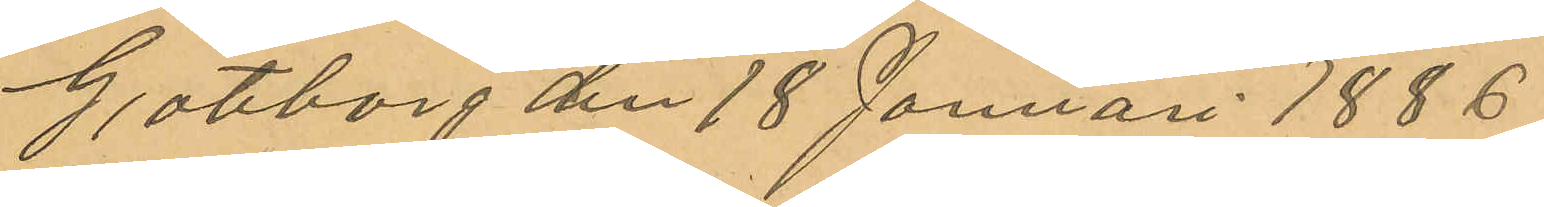Göteborg dn 18 Januari 1886.
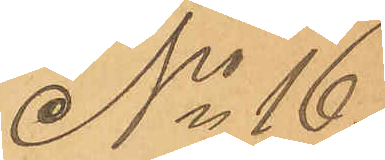No 16
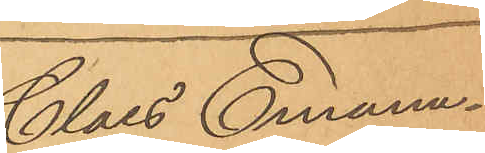Claes Emanu¬
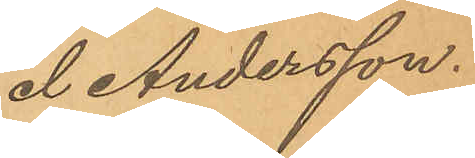el Andersson.
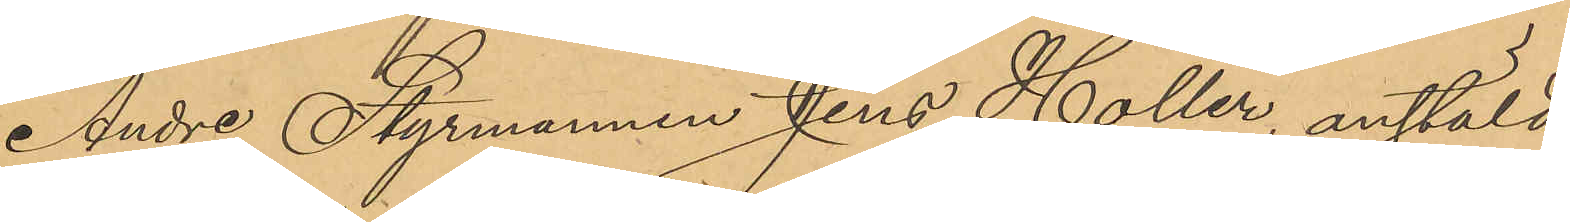Andre Styrmannen Jens Holler, anstäld
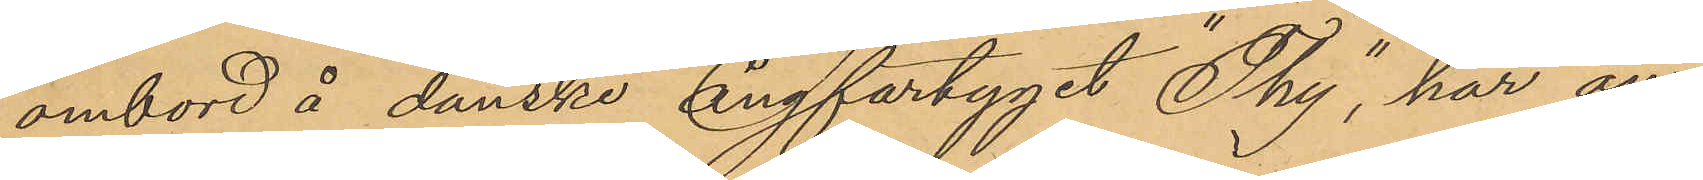ombord å danske ångfartyget "Thy", har an¬
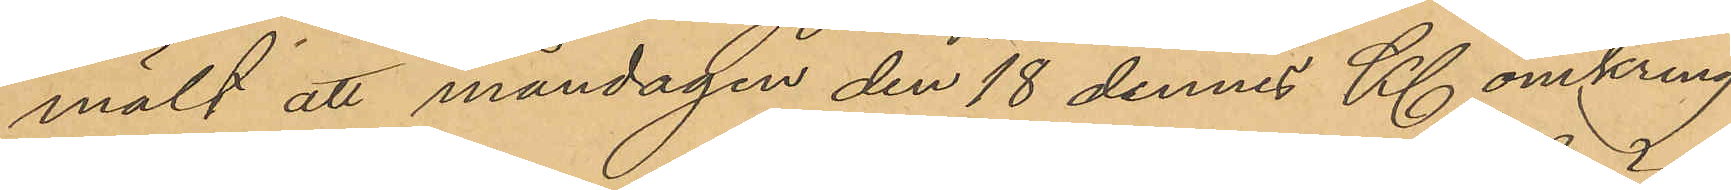mält att måndagen den 18 dennes Kl omkring
